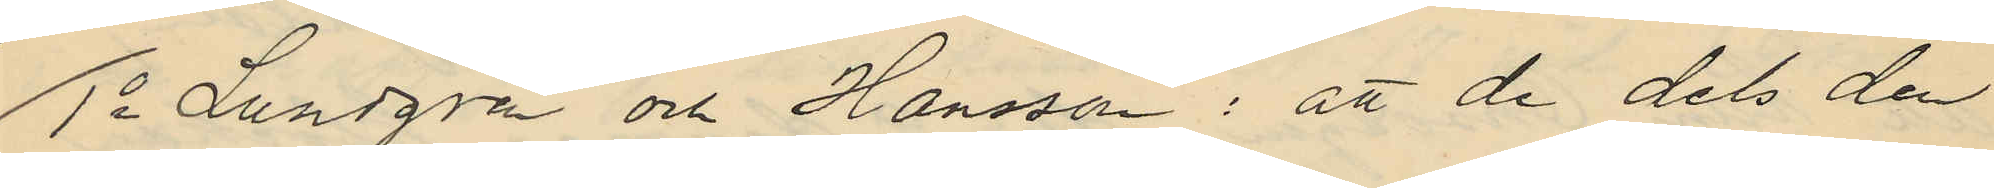1o Lundgren och Hansson: att de dels den
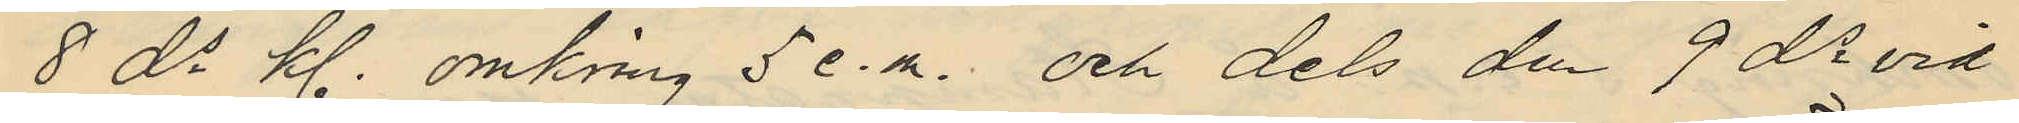8 ds kl. omkring 5 e.m. och dels den 9 ds vid
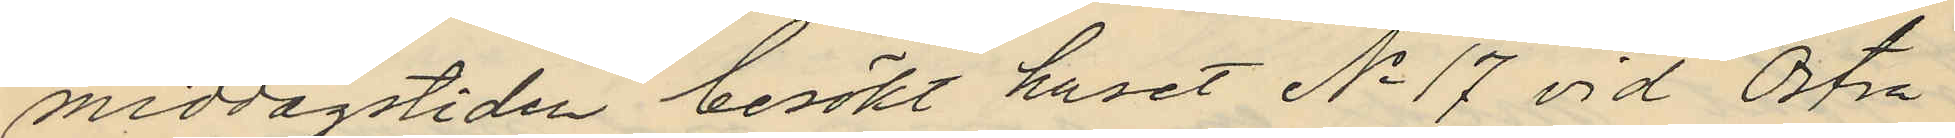middagstiden besökt huset No 17 vid Östra
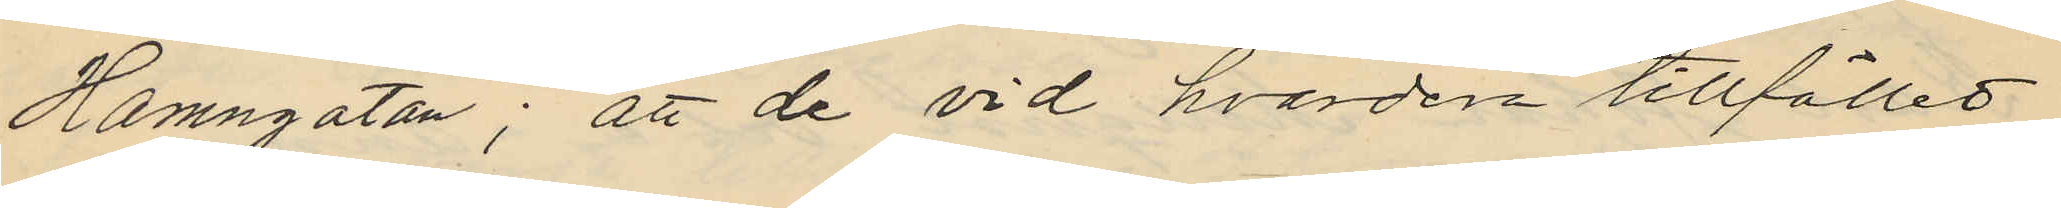Hamngatan; att de vid hvardera tillfället
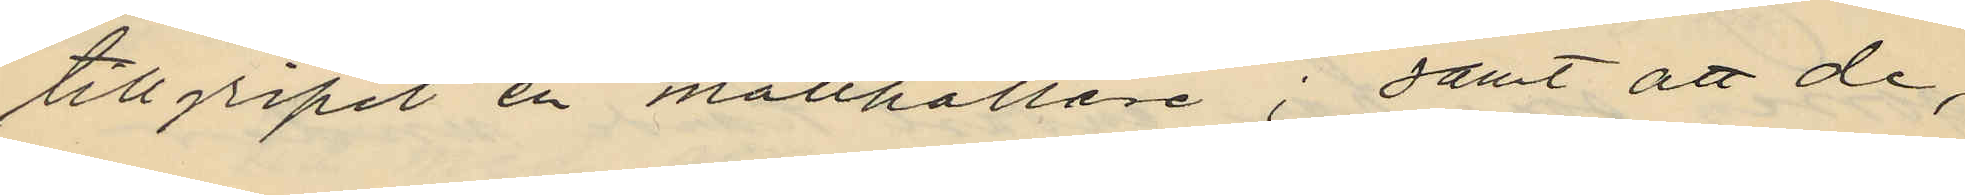tillgripit en matthållare; samt att de,
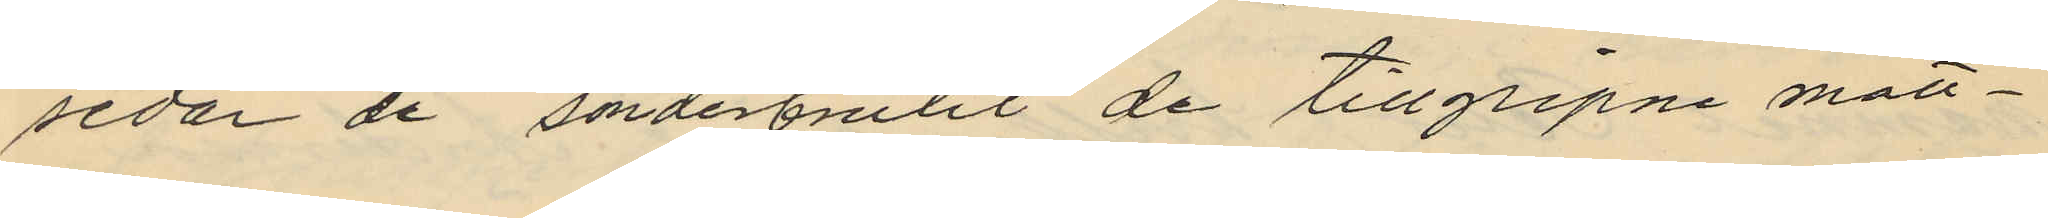sedar de sönderbrutit de tillgripne matt¬
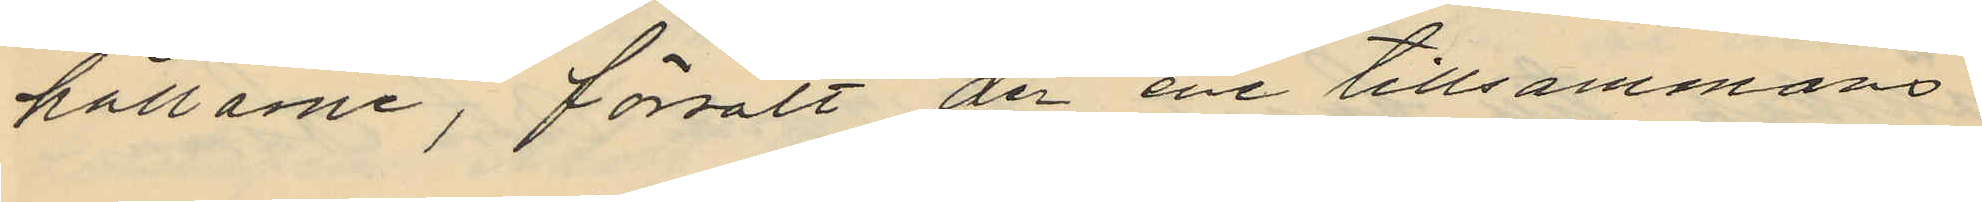hållarne, försålt den ene tillsammans
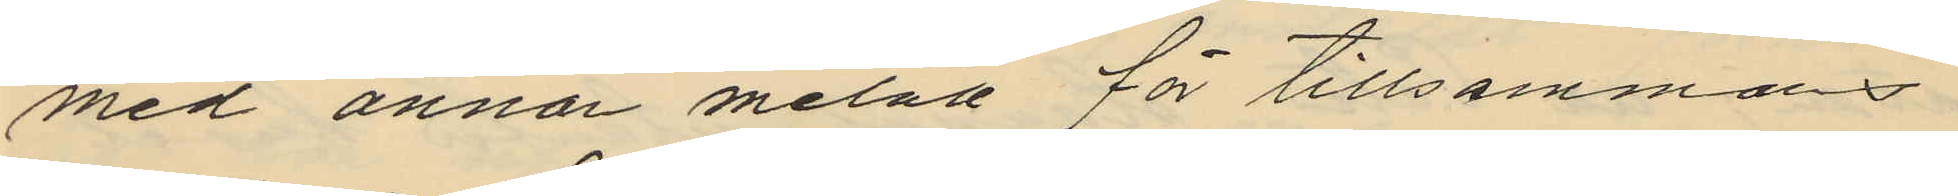med annan metall för tillsammans
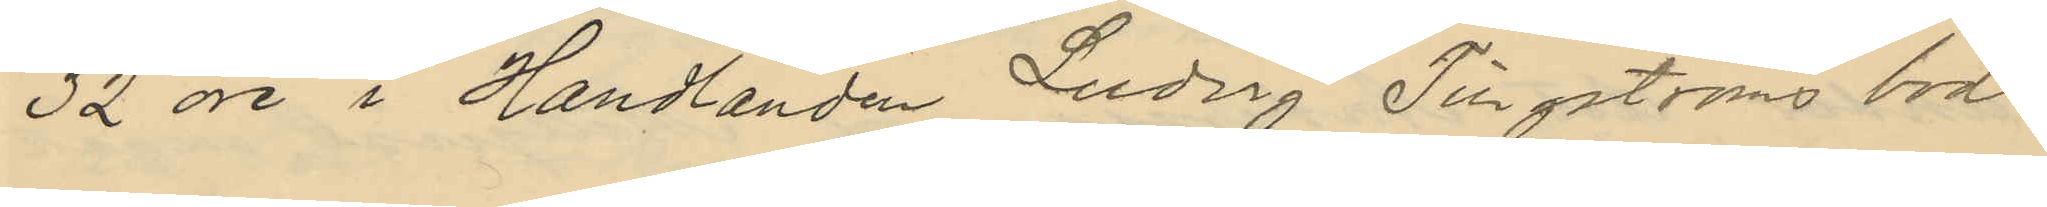32 öre i Handlanden Ludvig Tingströms bod
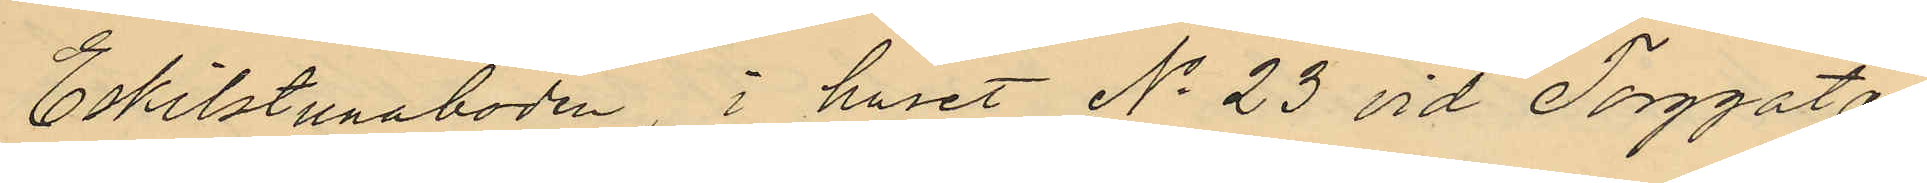Eskilstunaboden, i huset No 23 vid Torggatan
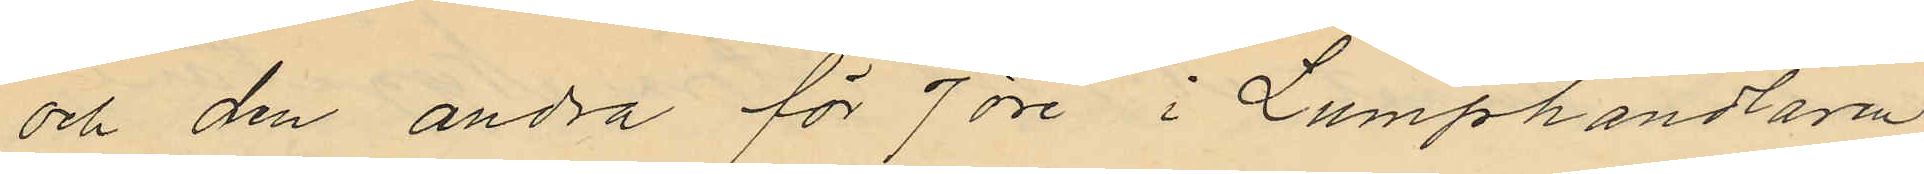och den andra för 7 öre i Lumphandlaren
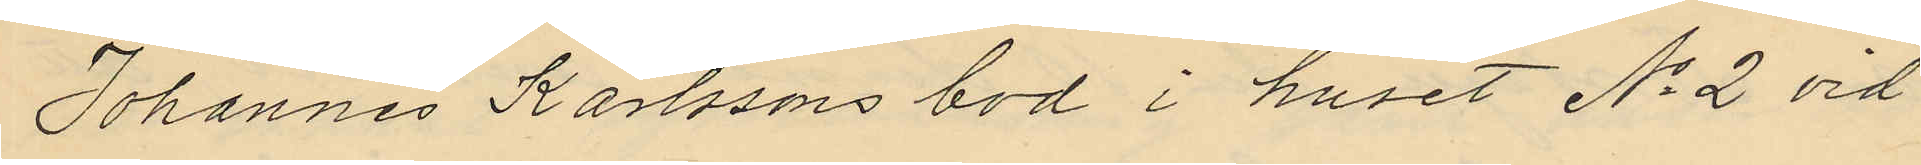Johannes Karlssons bod i huset No 2 vid
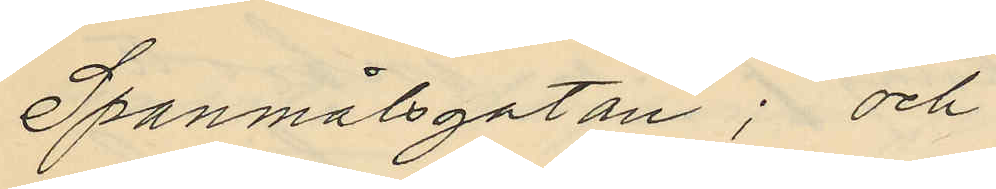Spanmålsgatan; och
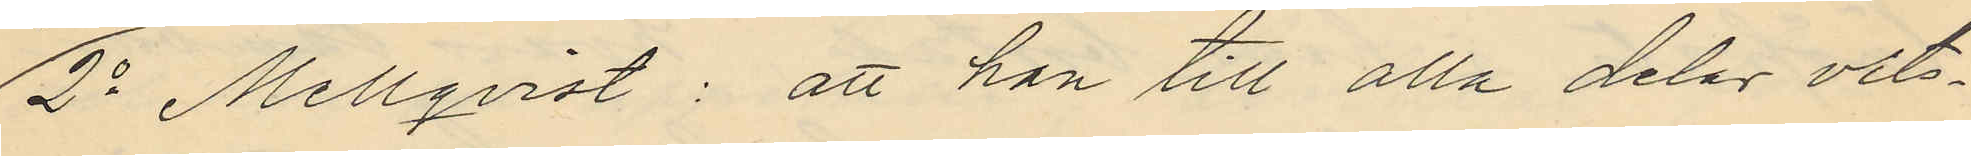2o Mellqvist: att han till alla delar vits¬
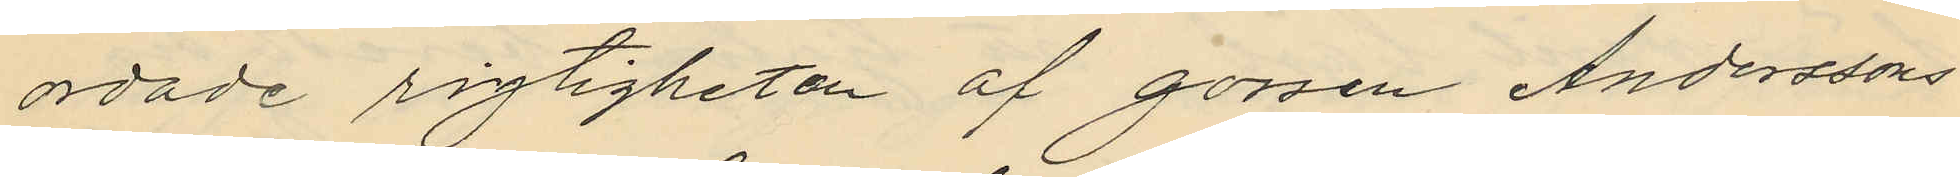ordade rigtigheten af gossen Anderssons
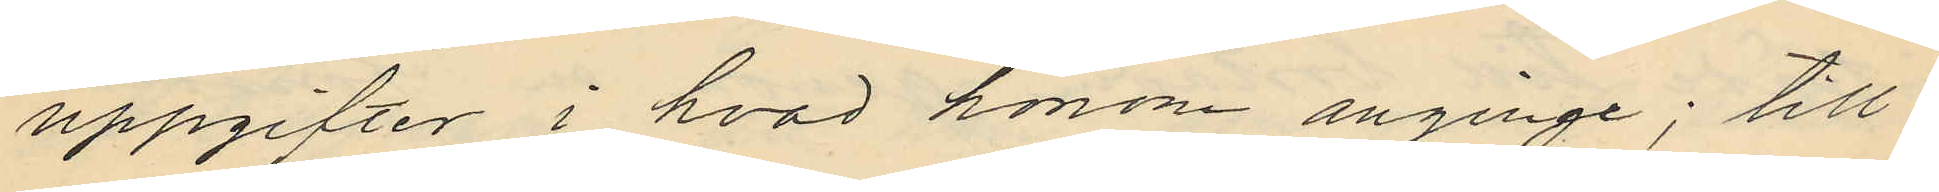uppgifter i hvad honom anginge; till¬
